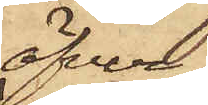öfver¬
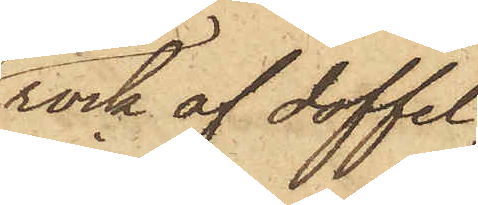rock af doffel,
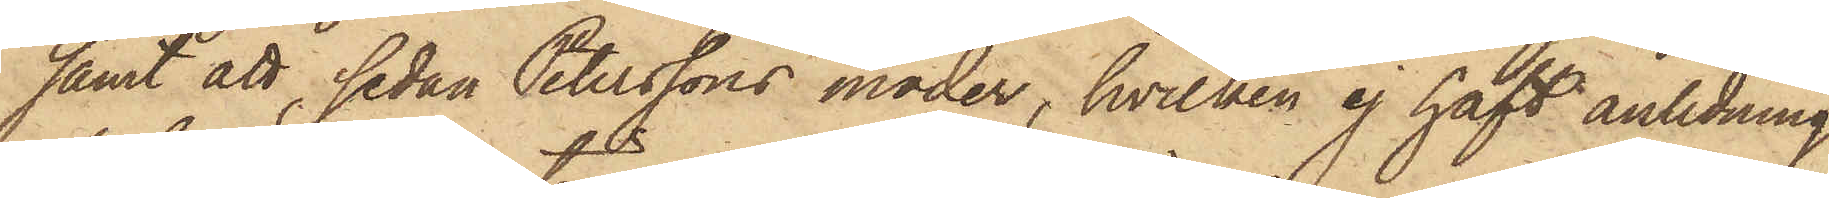samt att, sedan Peterssons moder, hvilken ej haft anledning
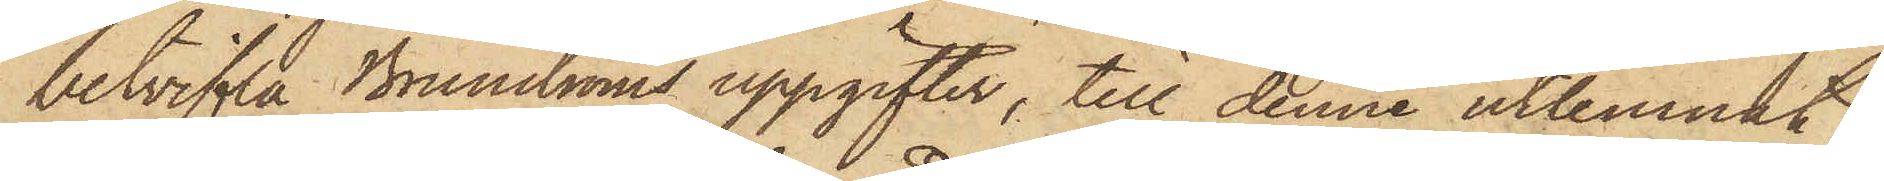betvifla Brunströms uppgifter, till denne utlemnat
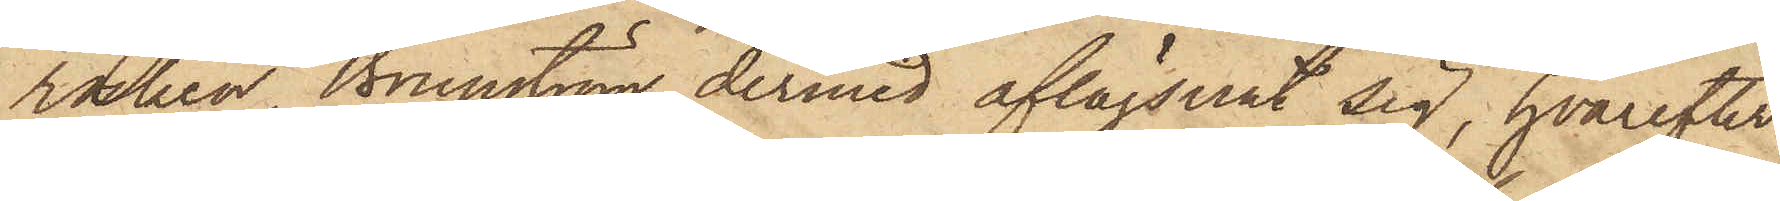rocken, Brunström dermed aflägsnat sig, hvarefter
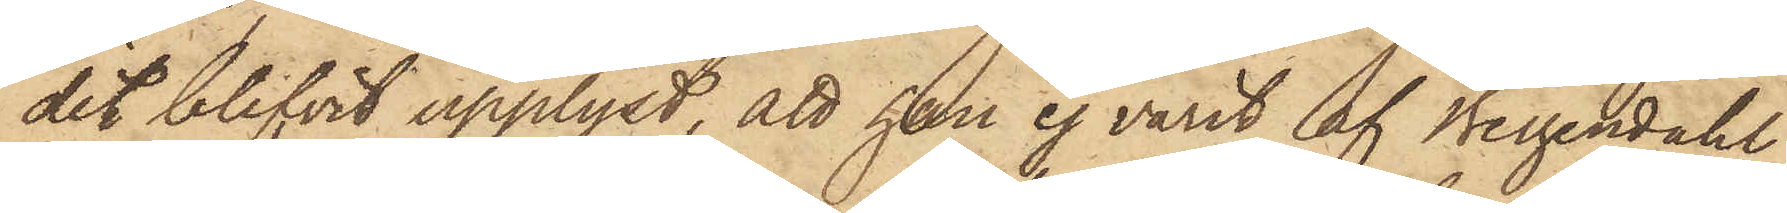det blifvit upplyst, att han ej varit af Bergendahl
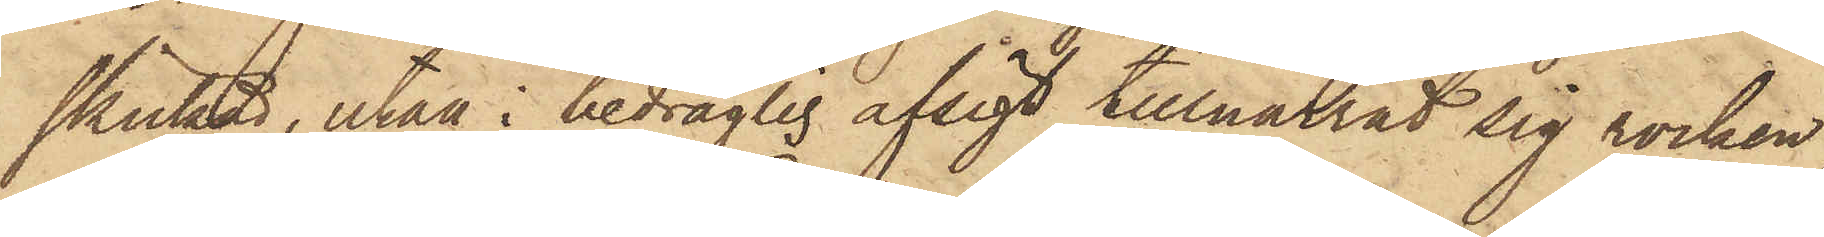skickad, utan i bedräglig afsigt tillnarrat sig rocken
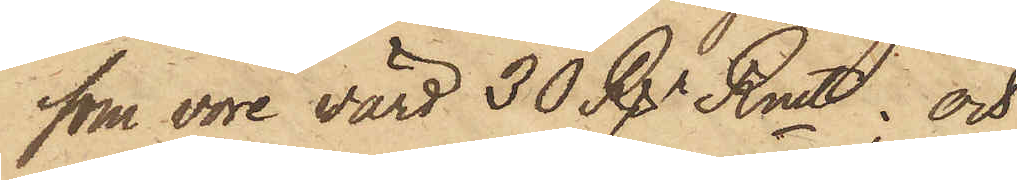som vore värd 30 Rgr Rmt; och
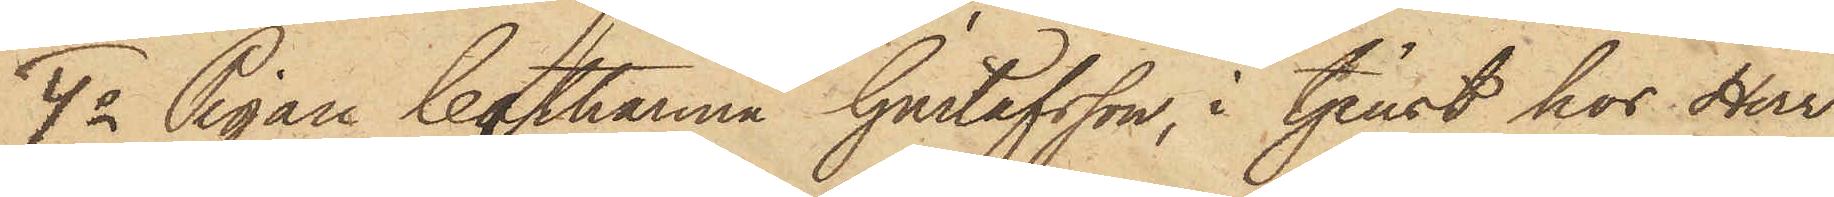4o Pigan Catharina Gustafsson, i tjenst hos Herr
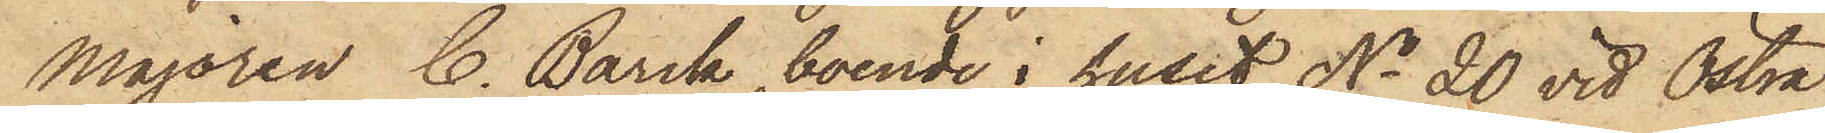Majoren C. Barck, boende i huset No 20 vid Östra
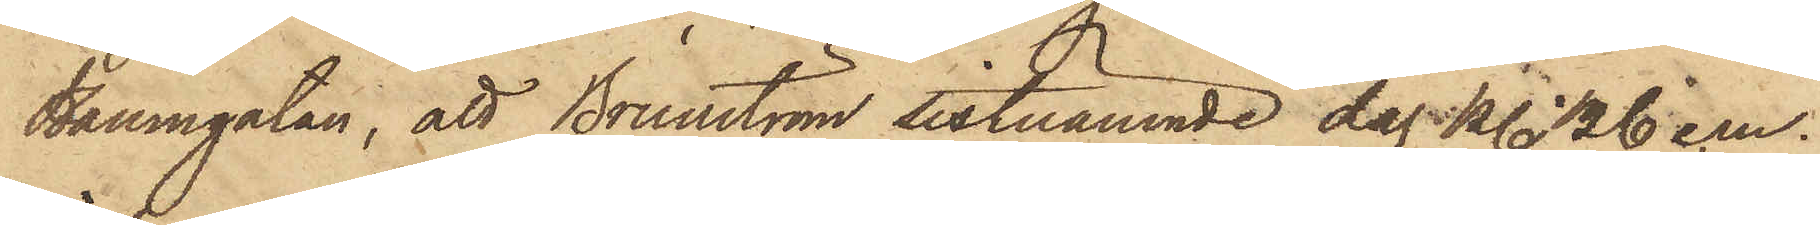Hamngatan, att Brunström sistnämnde dag kl. 1/2 6 e.m.
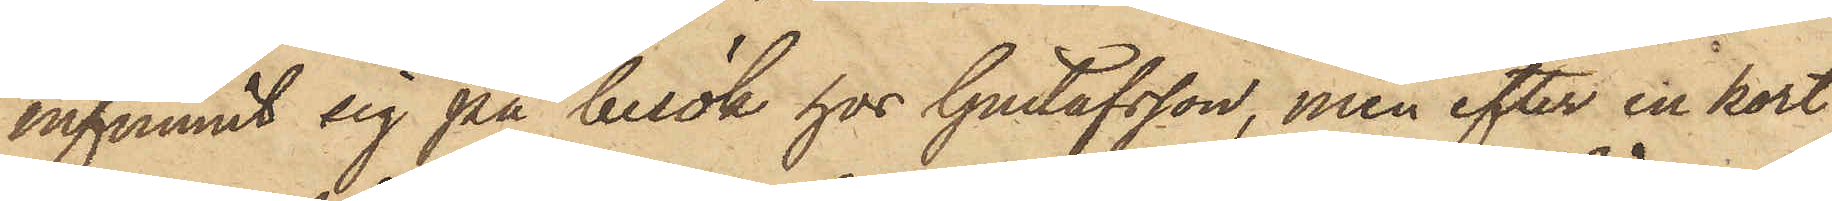infunnit sig på besök hos Gustafsson, men efter en kort
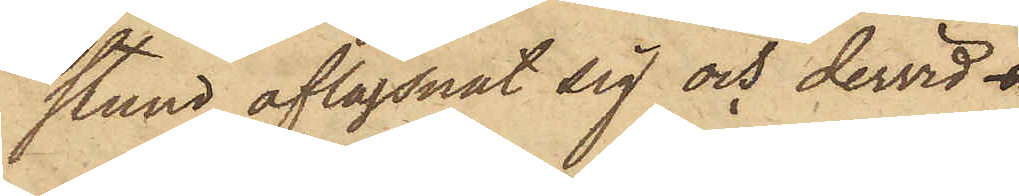stund aflägsnat sig och dervid 
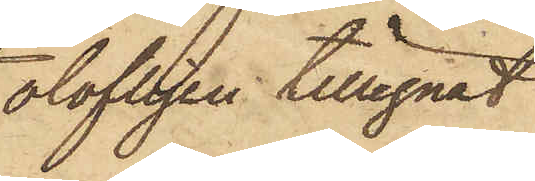olofligen tillegnat
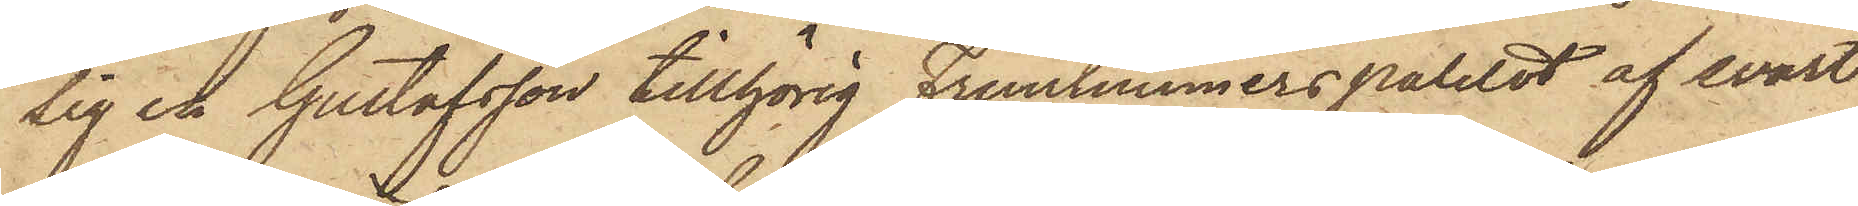sig en Gustafsson tillhörig Fruntimmerspaletot af svart
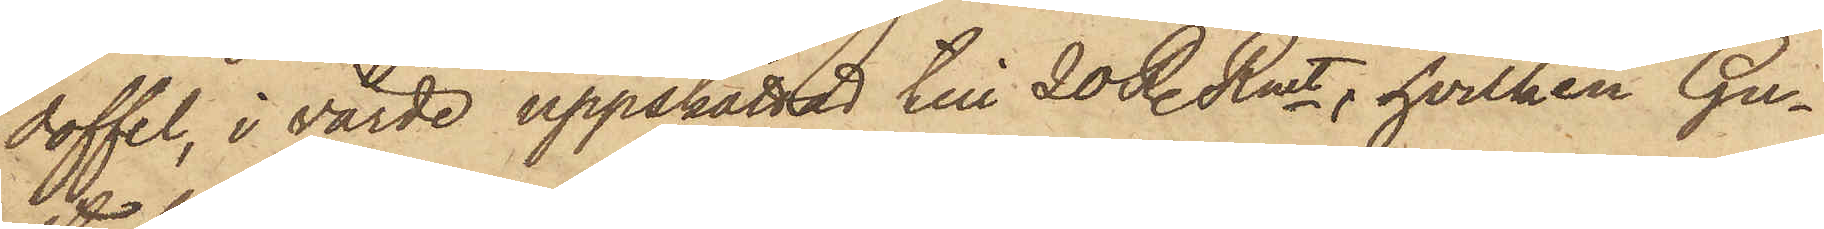doffel, i värde uppskattad till 20 R. Rmt, hvilken Gu¬
